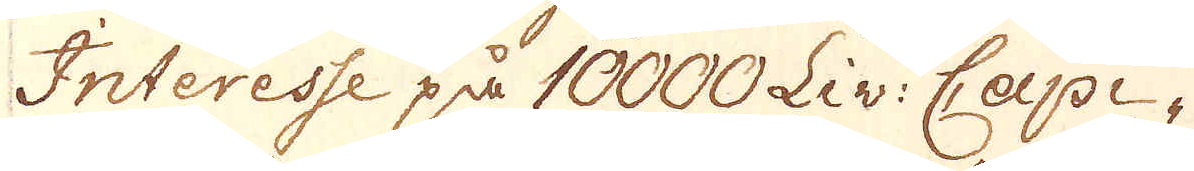Interesse på 10000 Liv: Capi-
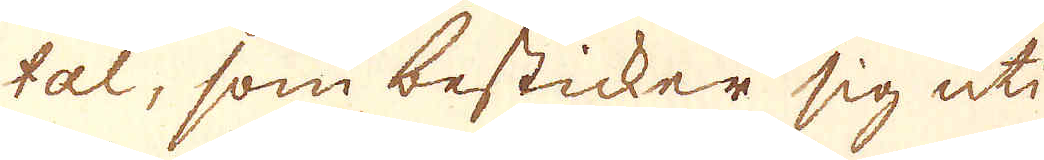tal, som besticker sig uti
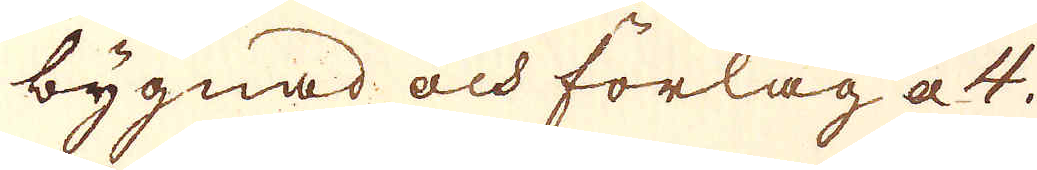bygnad och förlag a 4.
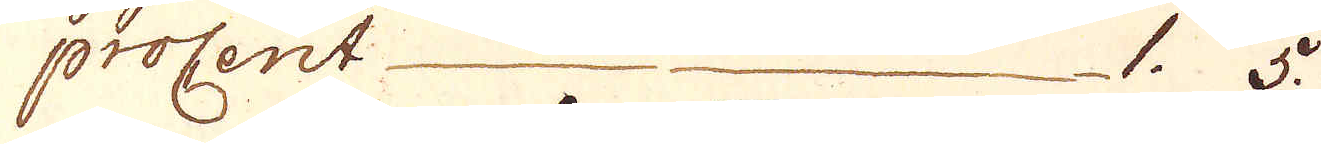procent 1. 5.
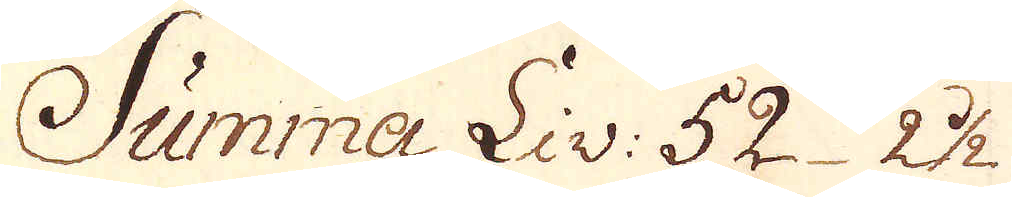Summa Liv. 52 2 1/2
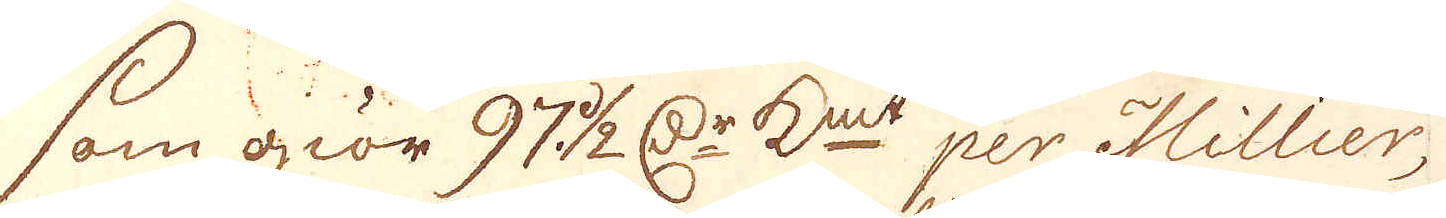som giör 97 1/2 r:Dr K:mt per Millier,
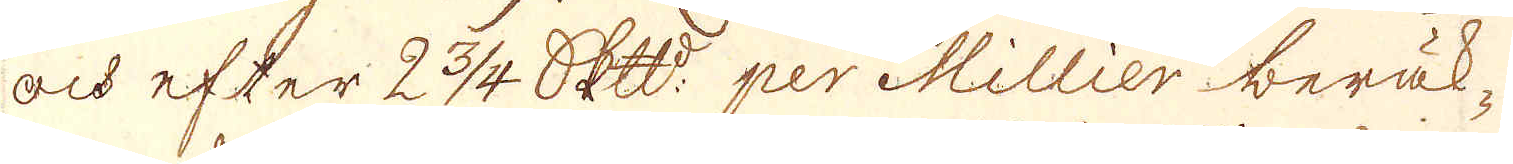och efter 2 3/4. Skepppund:t per Millier beräk-
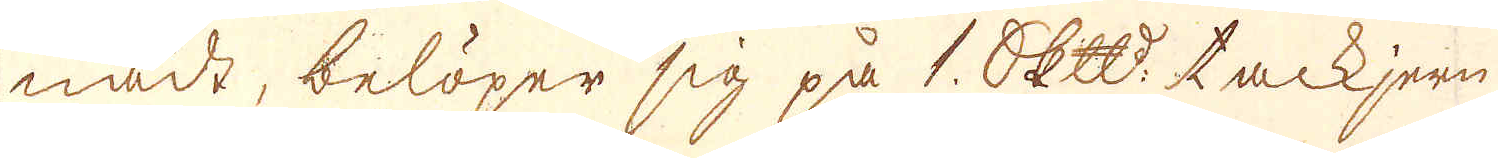nade, belöper sig på 1. skepppund tackjern
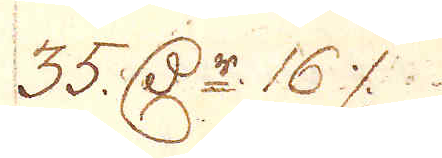35. r:dr 16 %.
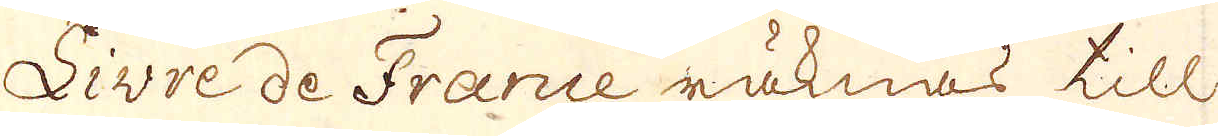Livre de France räknas till
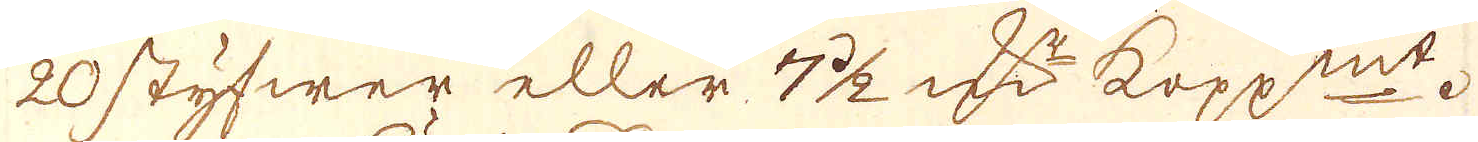20 styfwer eller 7 1/2 r:Dr kop:mt.
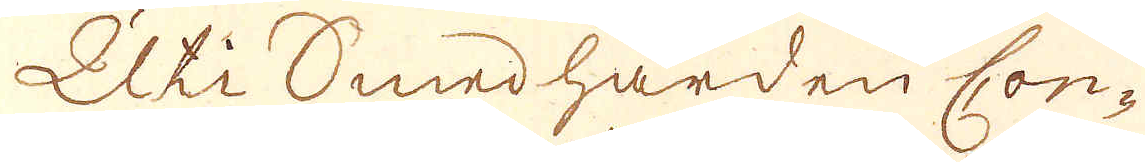Uti Smedhärden Con-
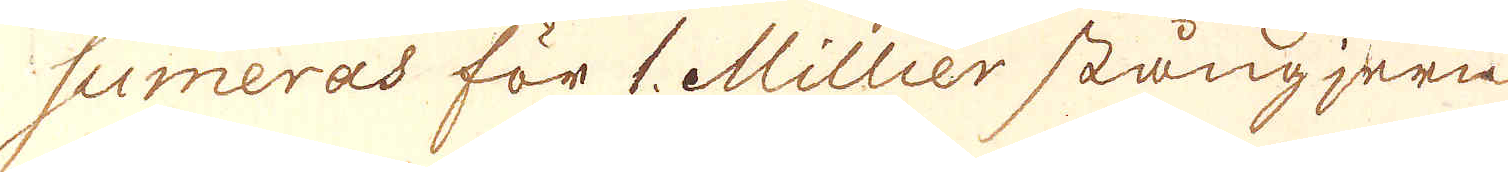sumeras för 1. Millier stångjern
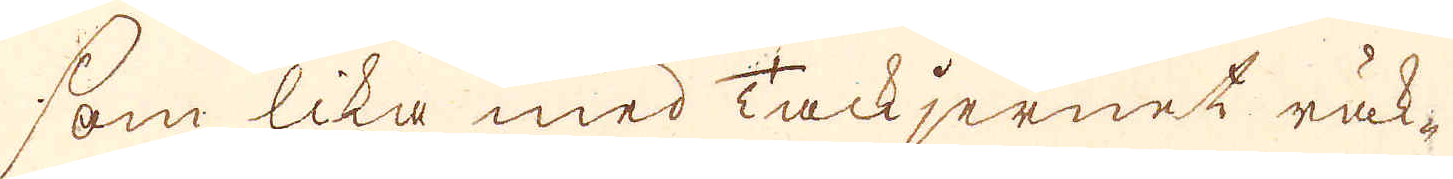som lika med Tackjernet räk-
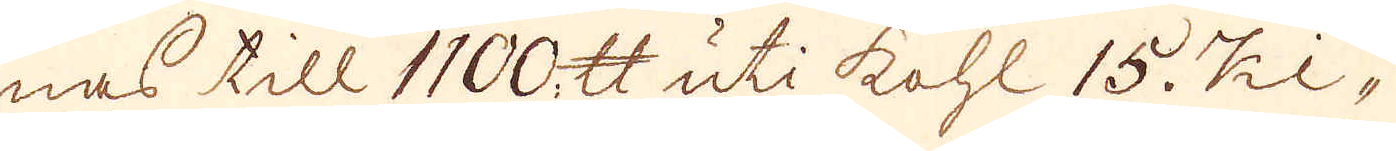nas till 1100 skålpund uti kohl 15. Ki-
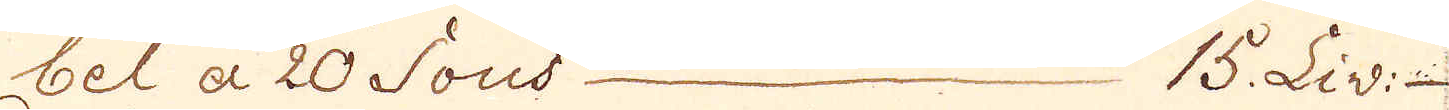bel a 20 Sous 15. Liv:
